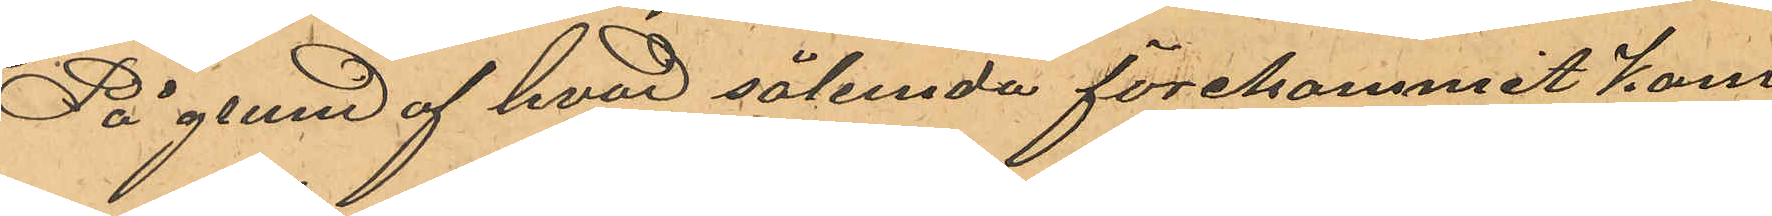På grund af hvad sålunda förekommit kom¬
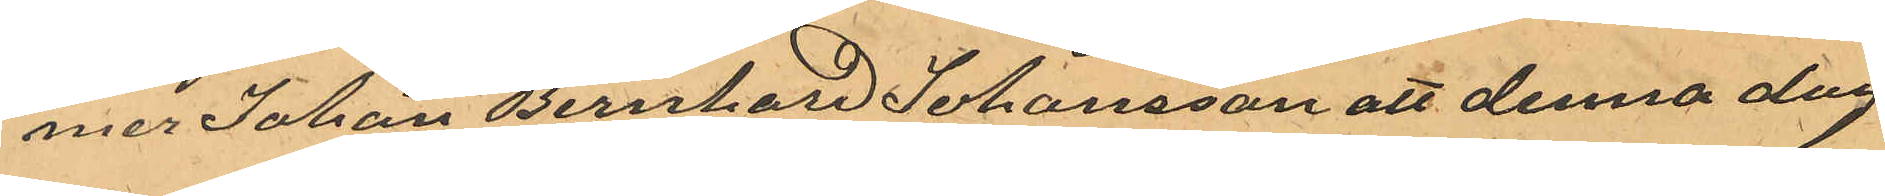mer Johan Bernhard Johansson att denna dag
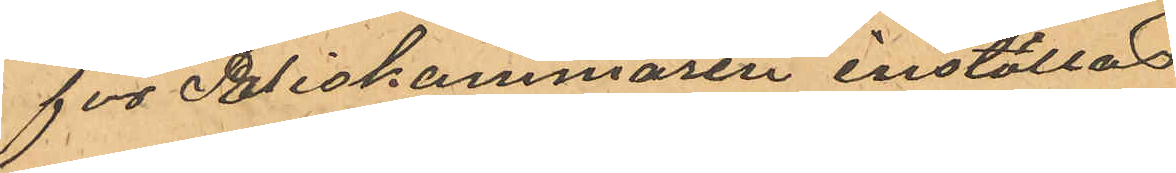för Poliskammaren inställas
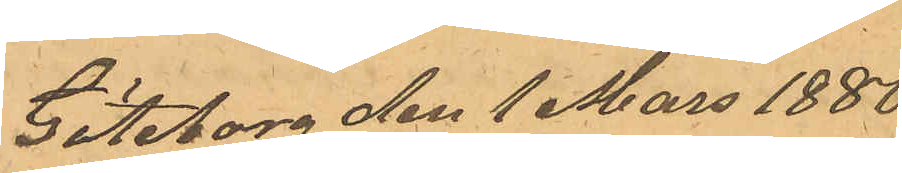Göteborg den 1 mars 1880
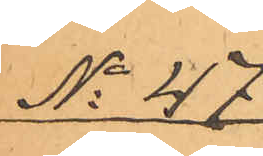No 47
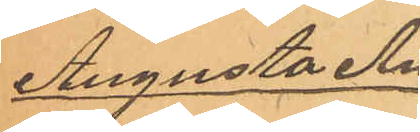Augusta An¬
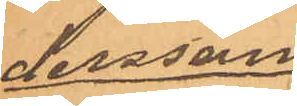dersson
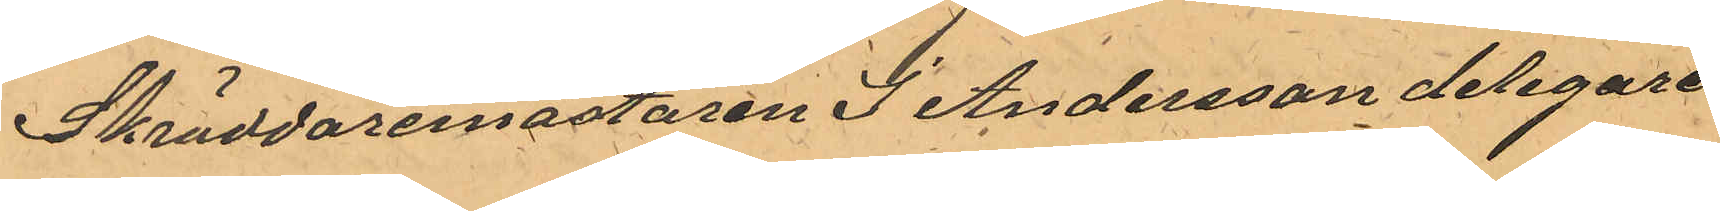Skräddaremästaren J. Andersson delegare
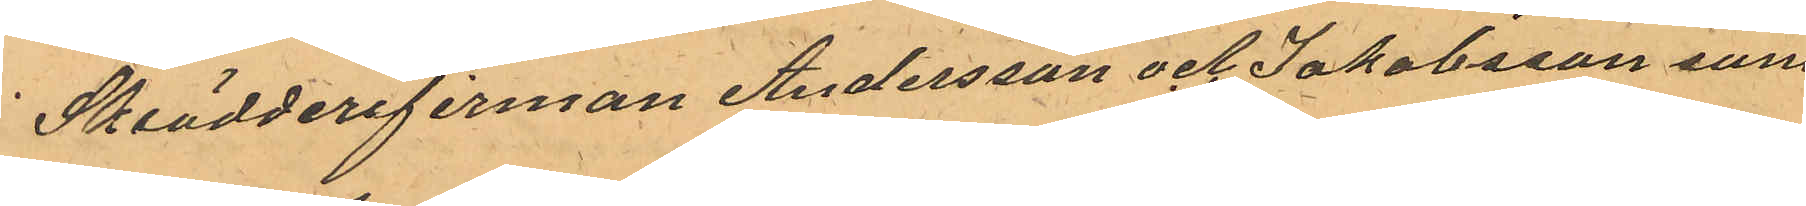i Skrädderifirman Andersson och Jakobsson som
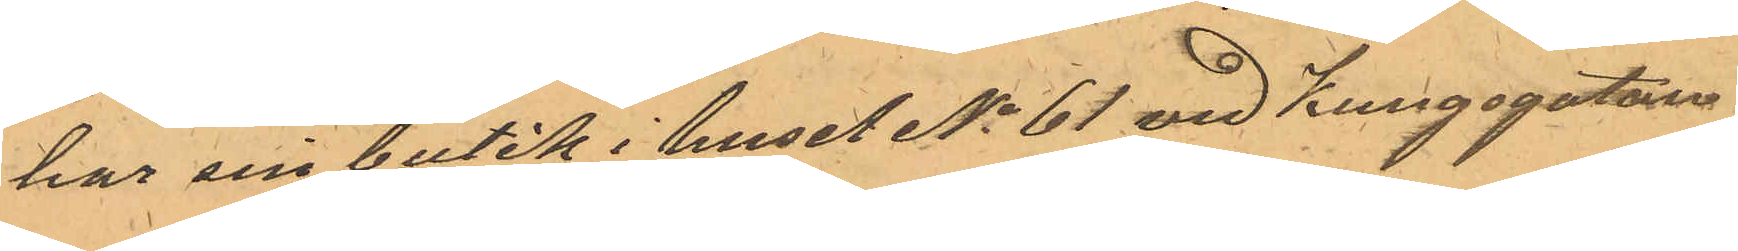har sin butik i huset No 61 vid Kungsgatan
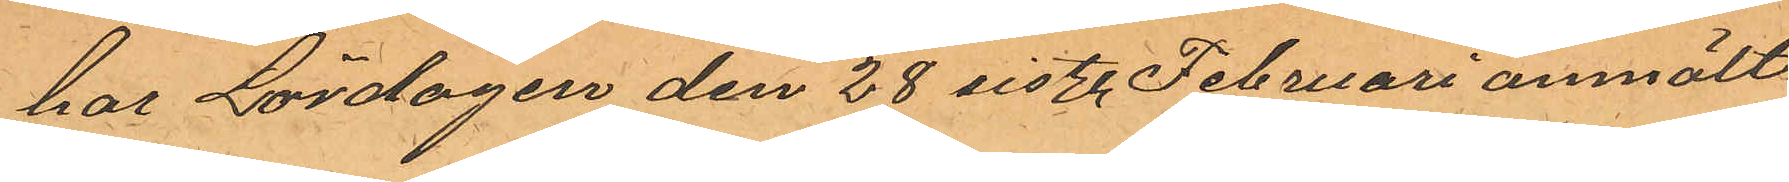har Lördagen den 28 sistl. Februari anmält,
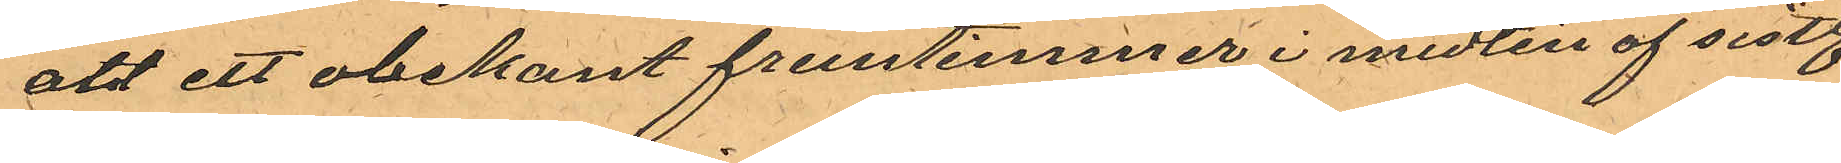att ett obekant fruntimmer i midten af sistl.
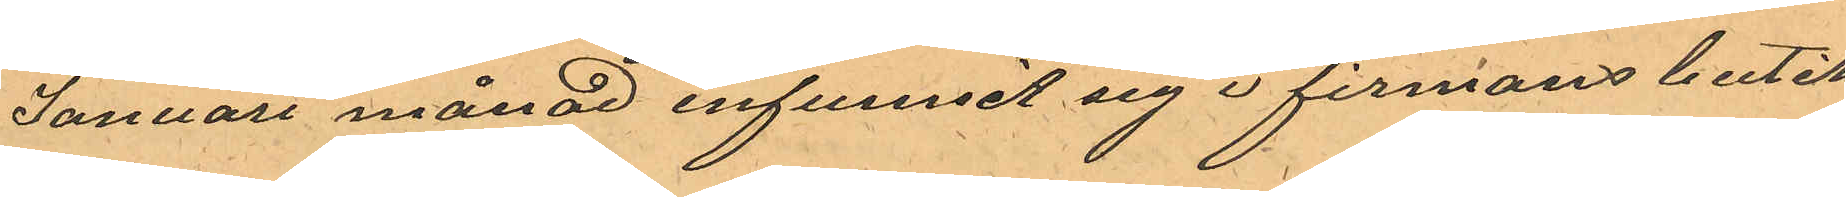Januari månad infunnit sig i firmans butik
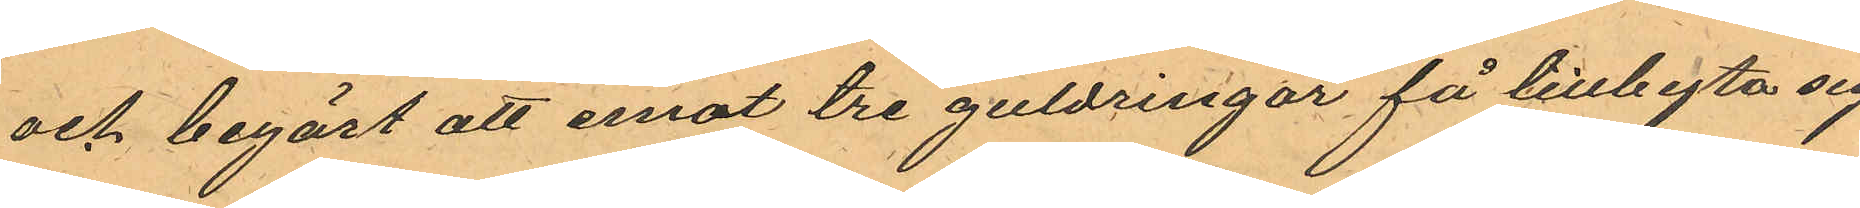och begärt att emot tre guldringar få tillbyta sig
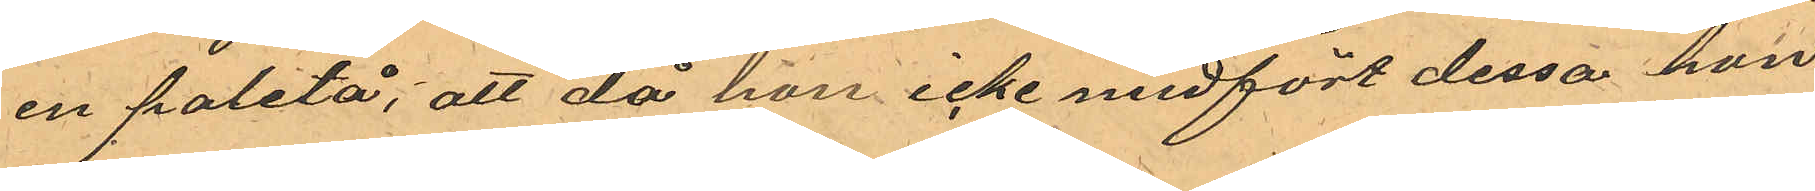en paletå, att då hon icke medfört dessa hon
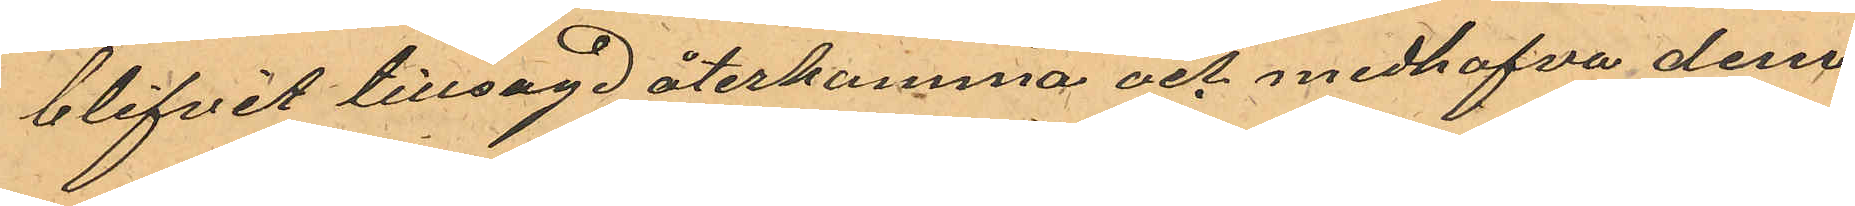blifvit tillsagd återkomma och medhafva dem;
